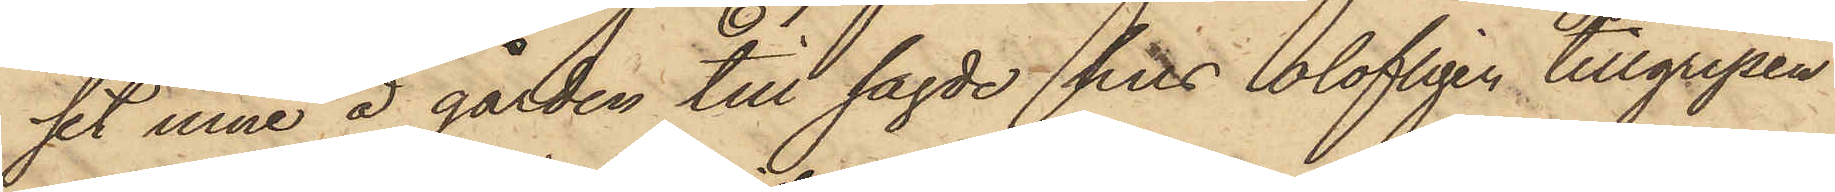set inne å gården till sagde hos olofligen tillgripen
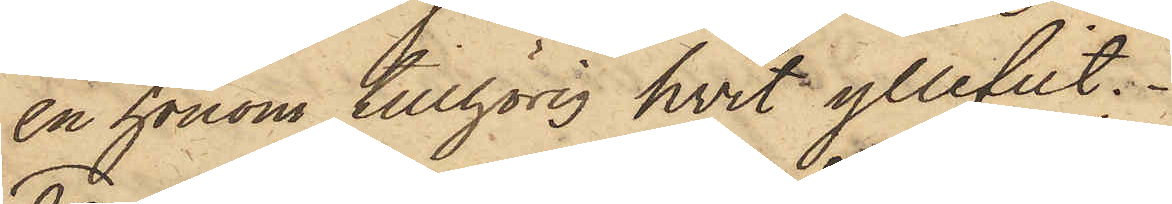en honom tillhörig hvit yllefilt.
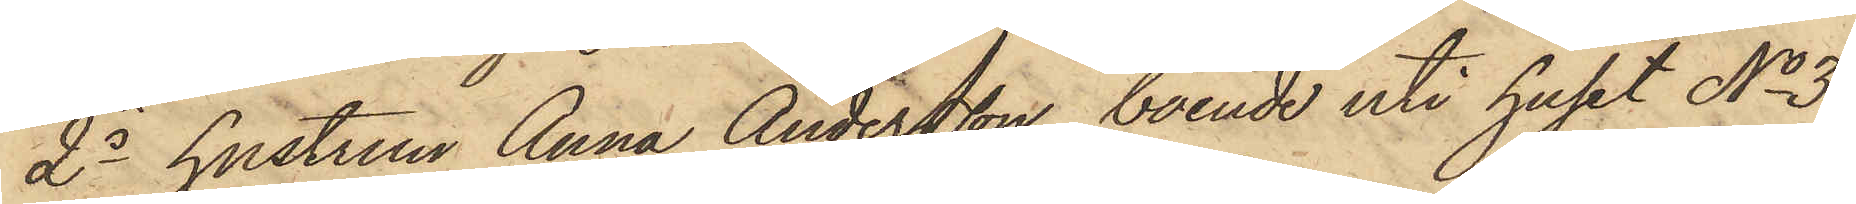2o hustrun Anna Andersson, boende uti huset No 3
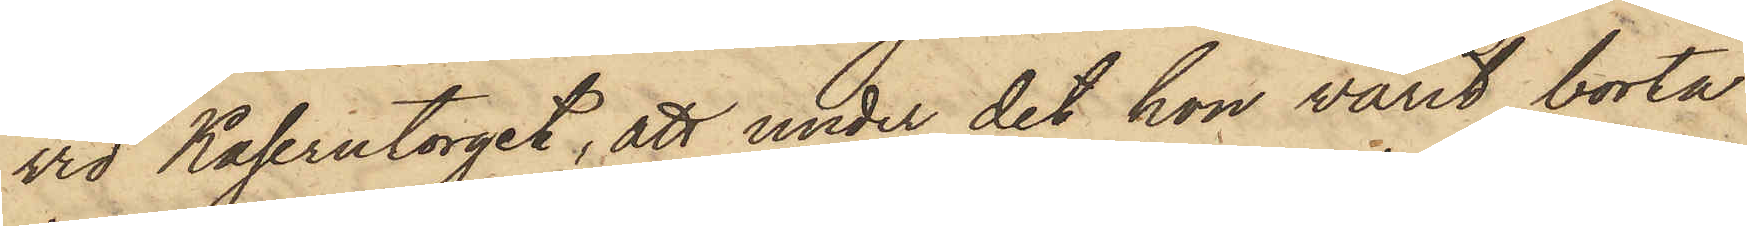vid Kaserntorget, att under det hon varit borta
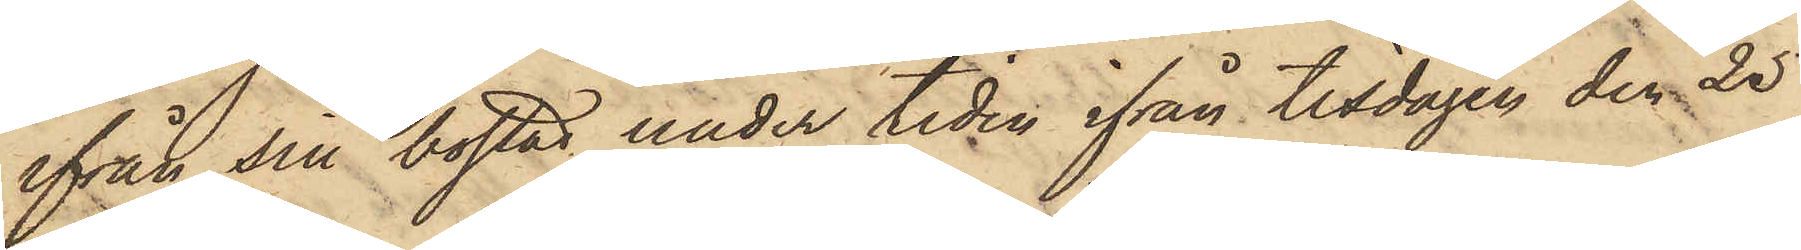ifrån sin bostad under tiden ifrån tisdagen den 25
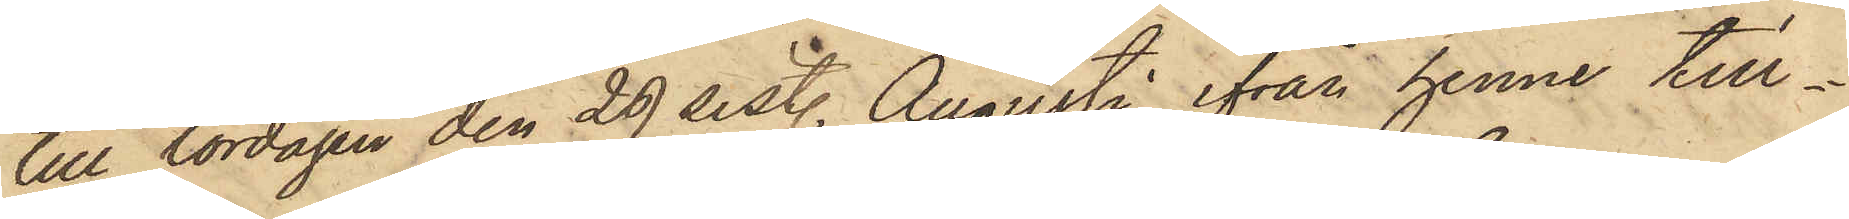till lördagen den 29 sist. Augusti, ifrån henne till¬
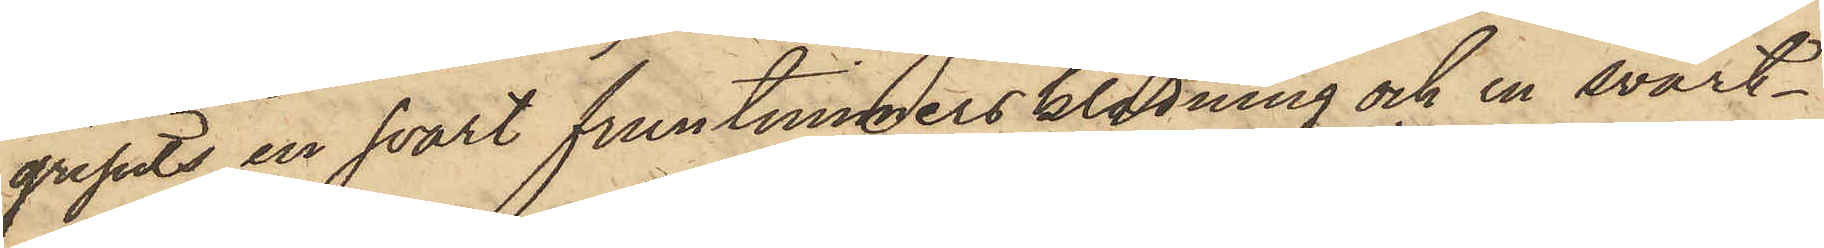gripits en svart fruntimmersklädning och en svart¬
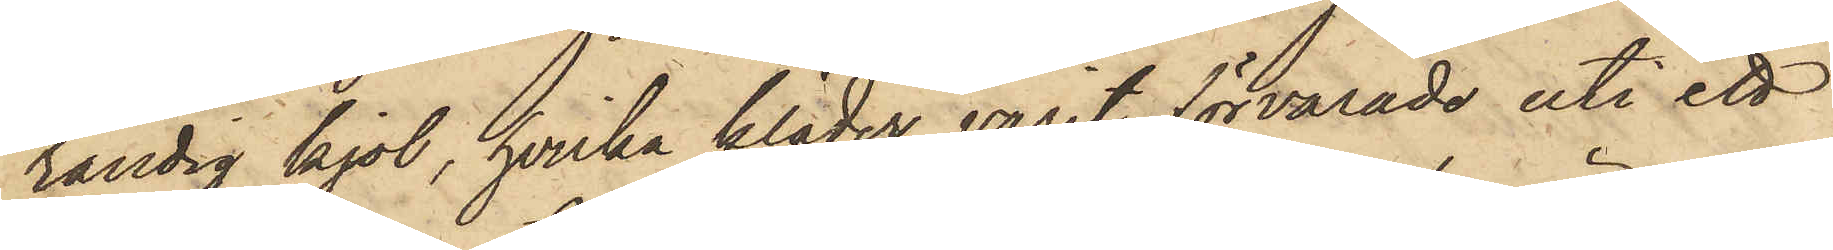randig kjol, hvilka kläder varit förvarade uti ett
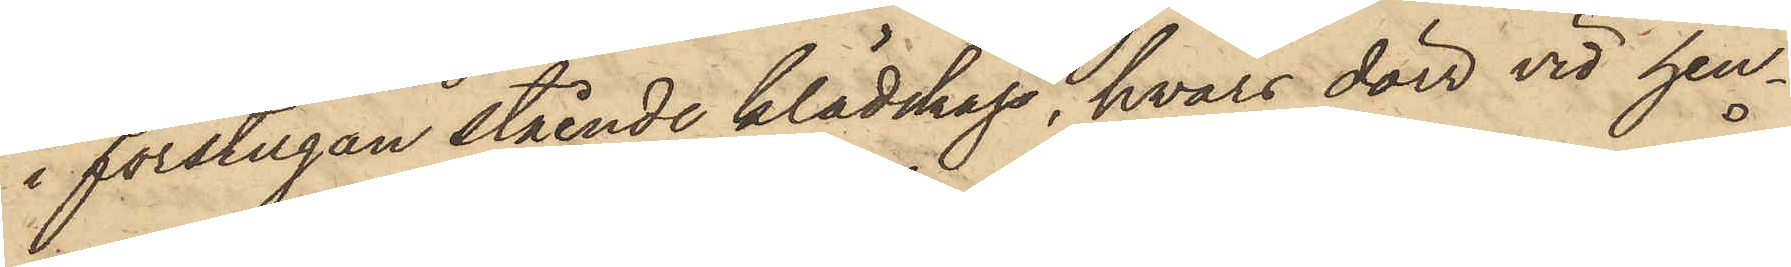i förstugan stående klädskåp, hvars dörr vid hen¬
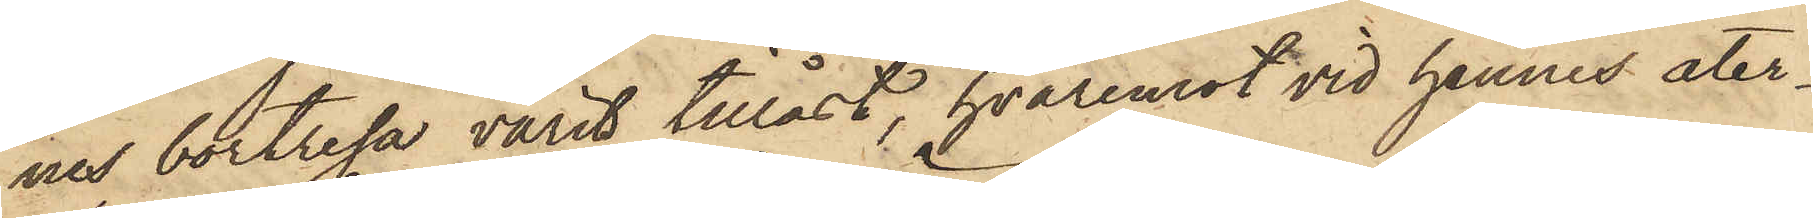nes bortresa varit tillåst, hvaremot vid hennes åter¬
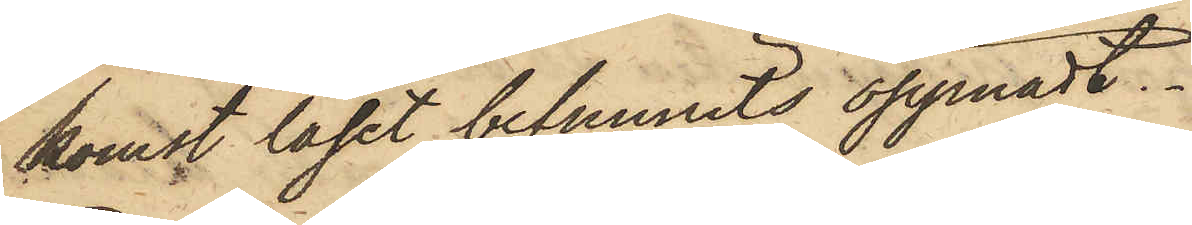komst låset befunnits öppnadt.
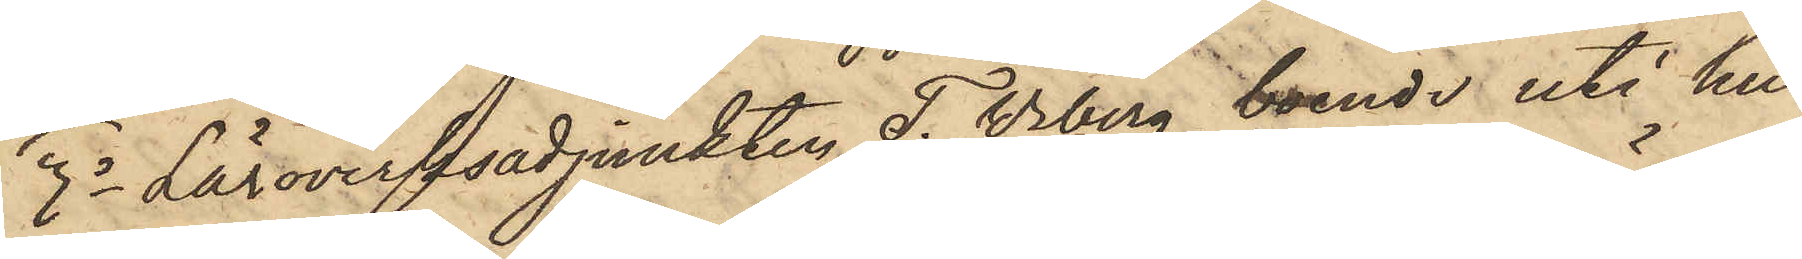3o Läroverksadjunkten T. Wiberg, boende uti hu¬
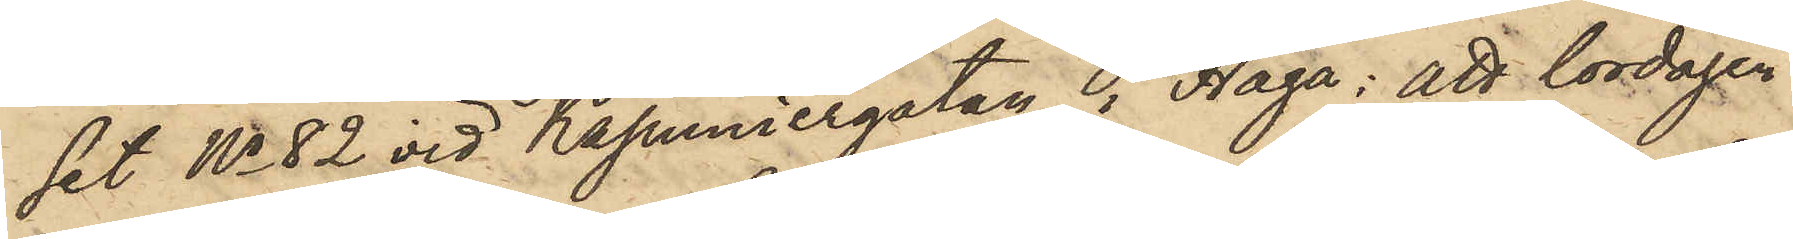set No 82 vid Kapuniergatan i Haga: att lördagen
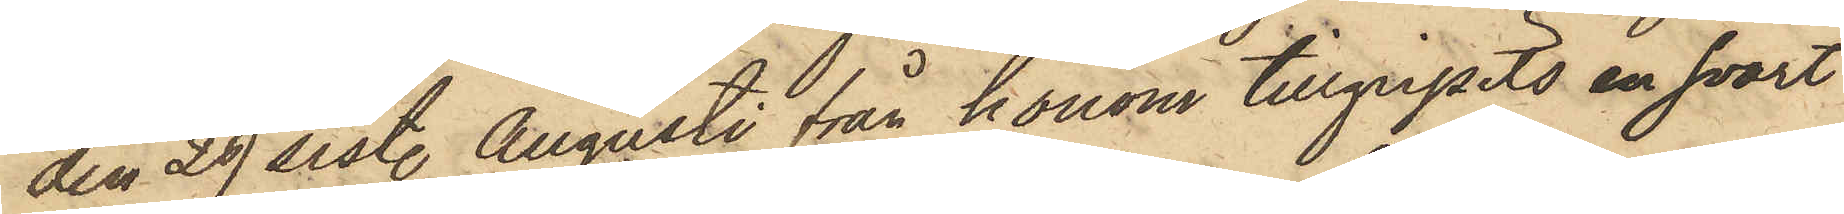den 29 sist. Augusti från honom tillgripits en svart
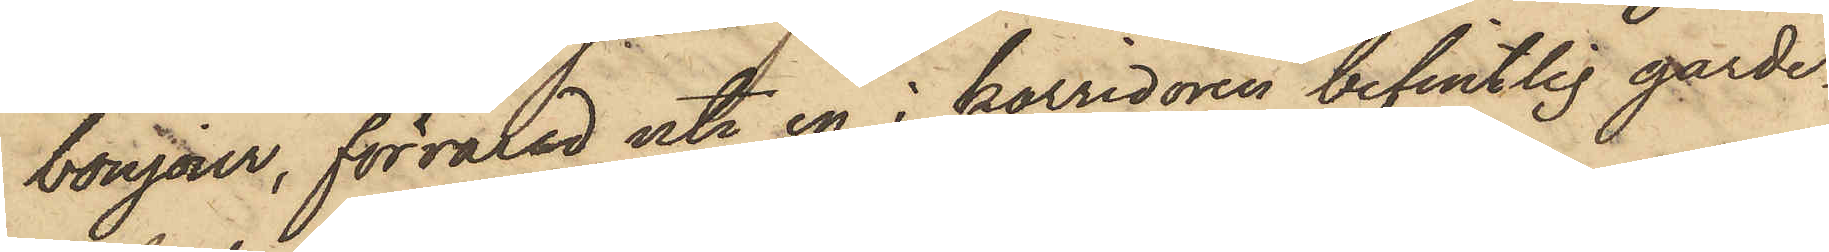bonjour, förvarad uti en i korridoren befintlig garde¬
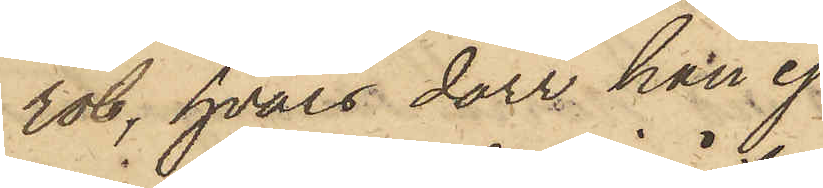rob, hvars dörr han ej
